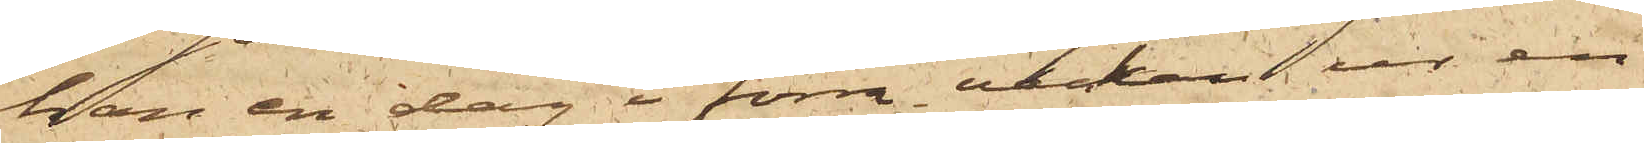han en dag i förra veckan ur en
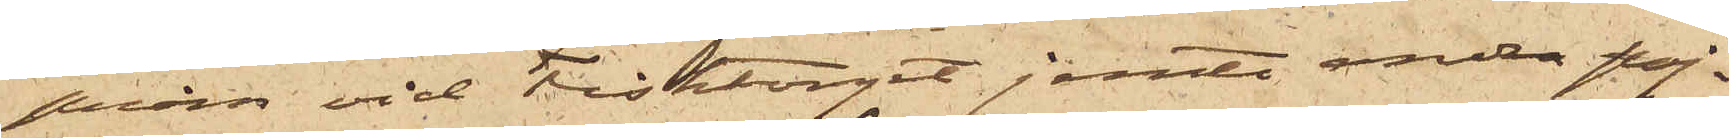pråm vid Fisktorget jemte andra poj¬
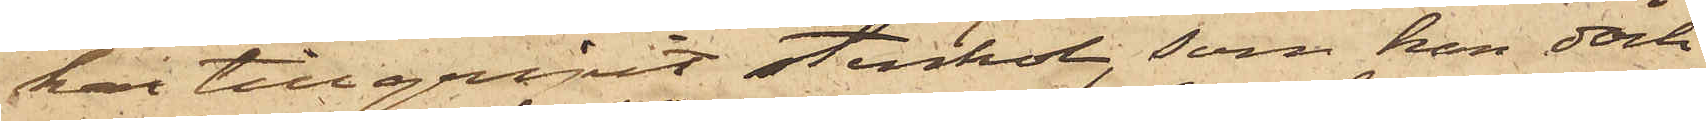kar tillgripit stenkol, som han dock
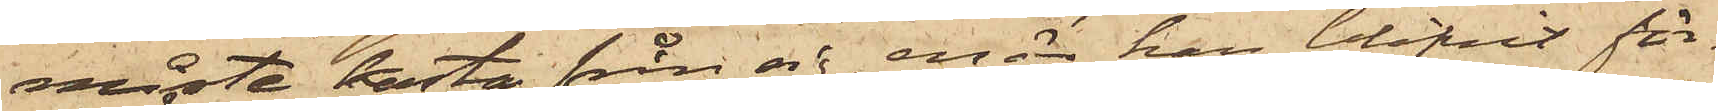måste kasta från sig, enär han blifvit för¬
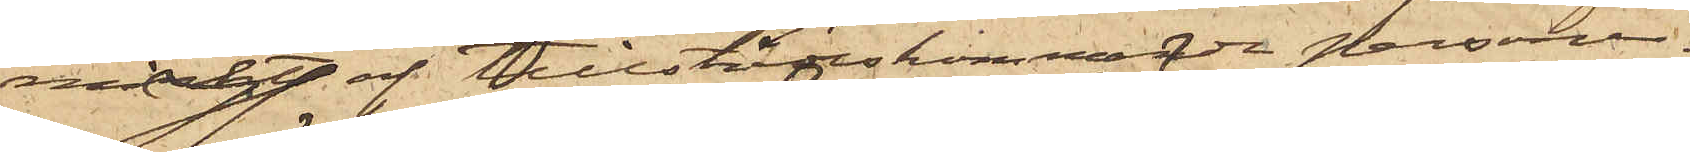märkt af tillstädsekommande personer.
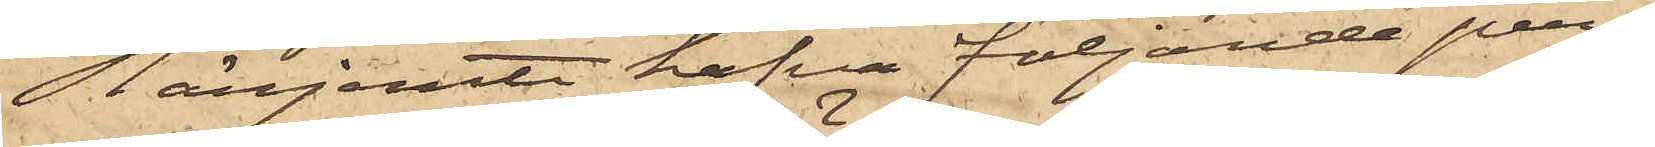Härjämte hafva följande per¬
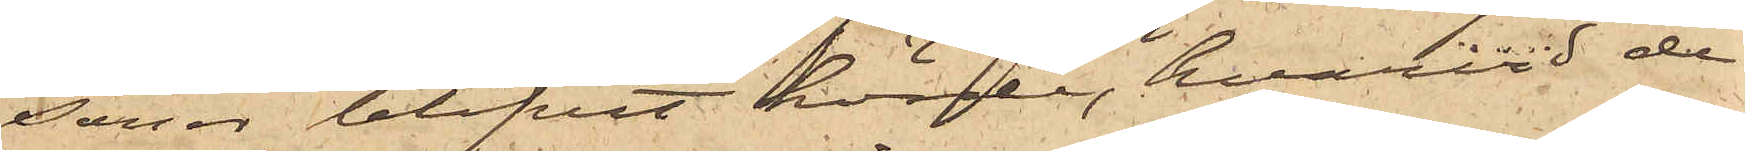soner blifvit hörde, hvarvid de
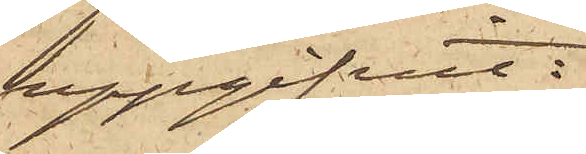uppgifvit:
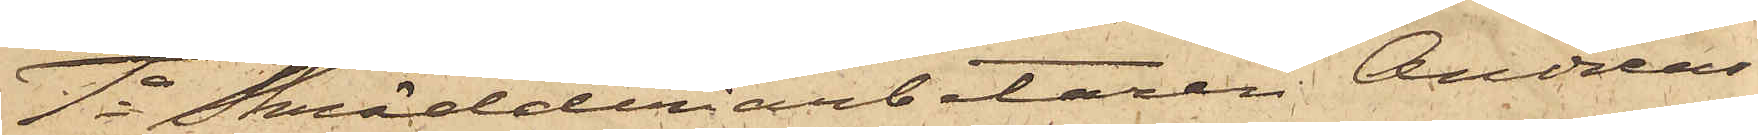1o Skrädderiarbetaren Andreas
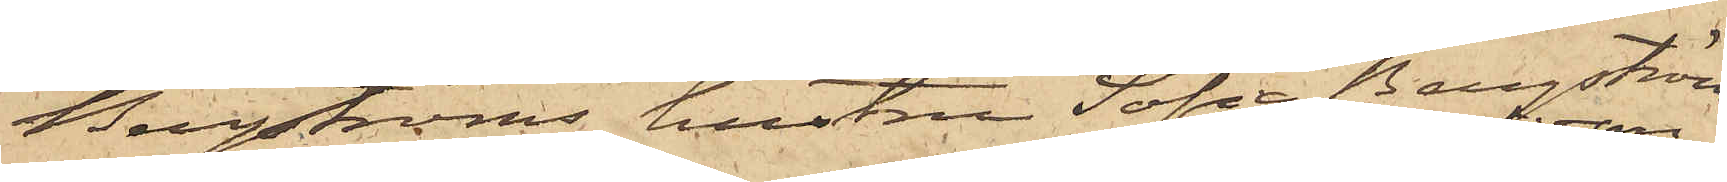Bergströms hustru Sofia Bergström
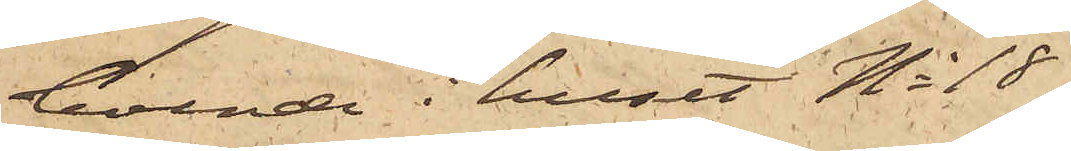boende i huset No 18
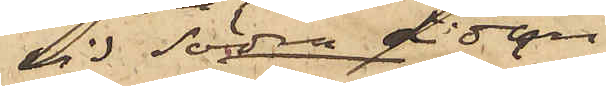vid Södra Liden
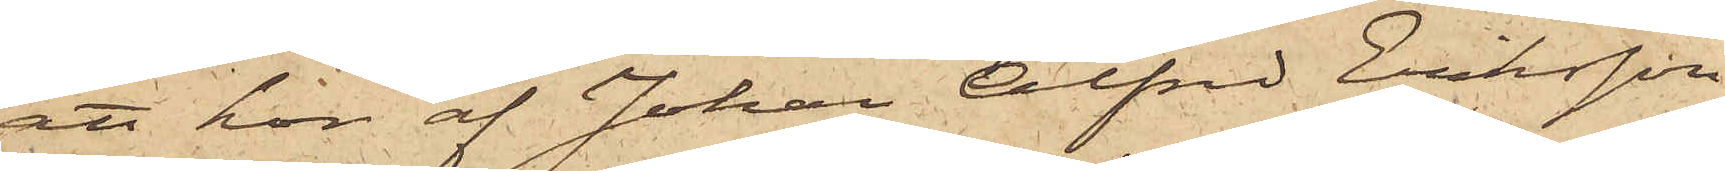att hon af Johan Alfred Eriksson
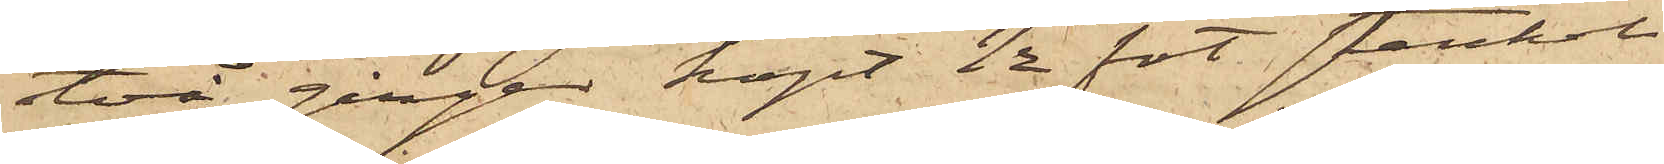två gånger köpt  ½ fot stenkol
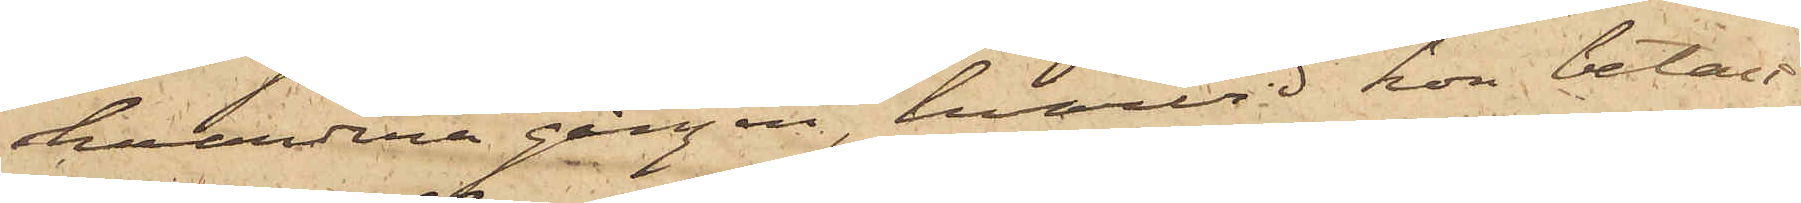hvardera gången, hvarvid hon betalt
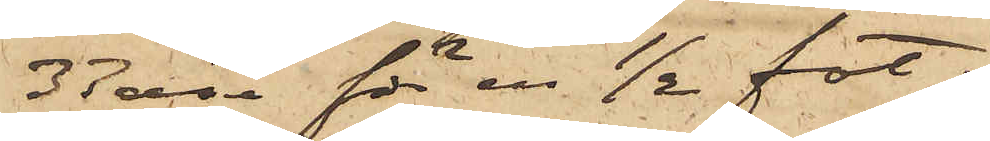37 öre för en ½ fot;
